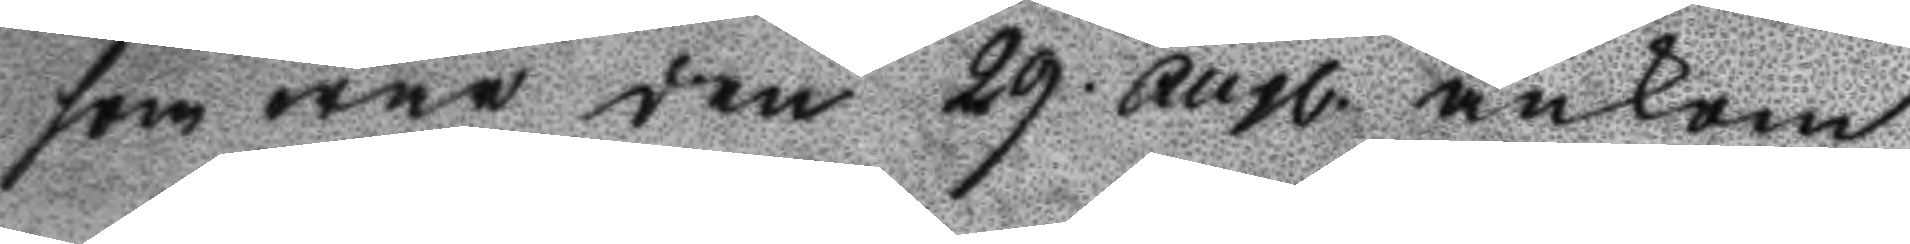som war den 29 augl. ankom
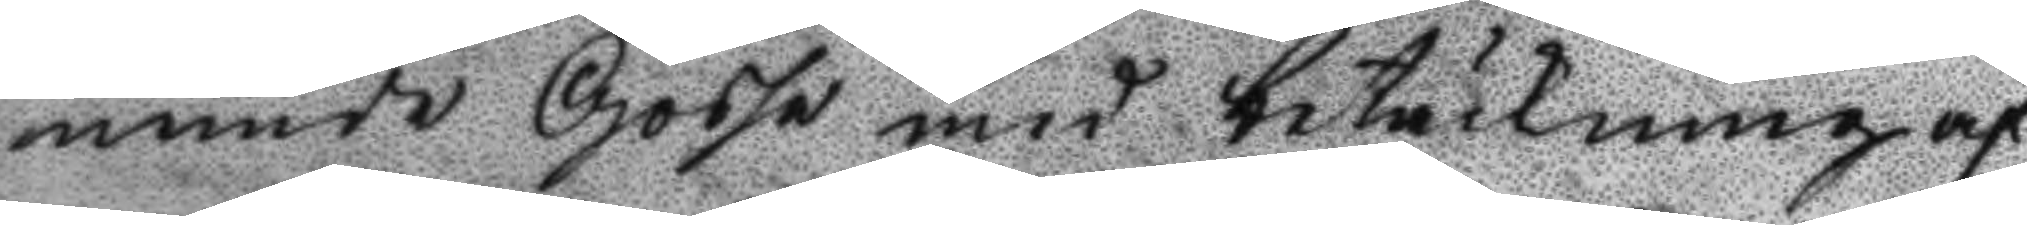nemde Gosse med betäckning af
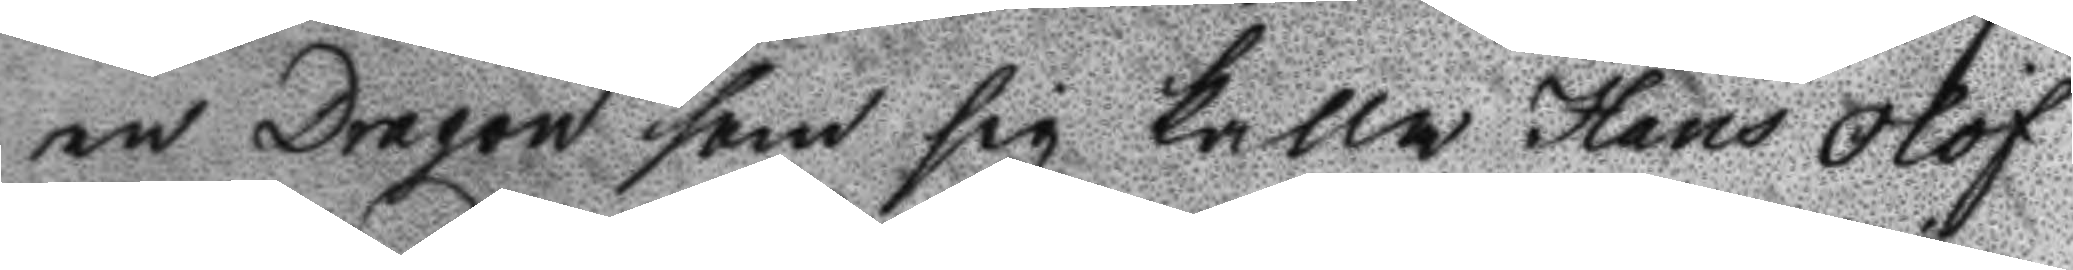en Dragon som sig kalla Hans Olof
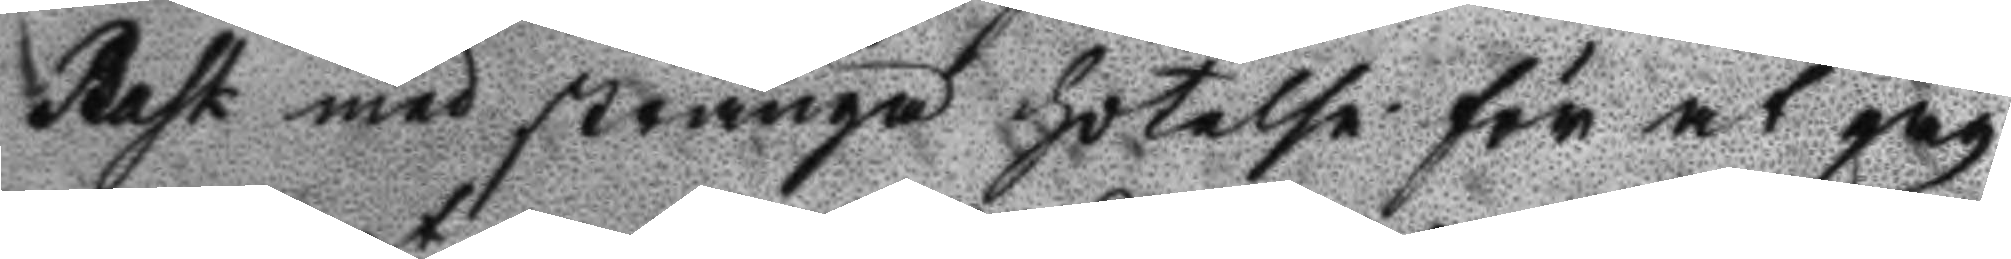Bask med strenga hotelse för at jag
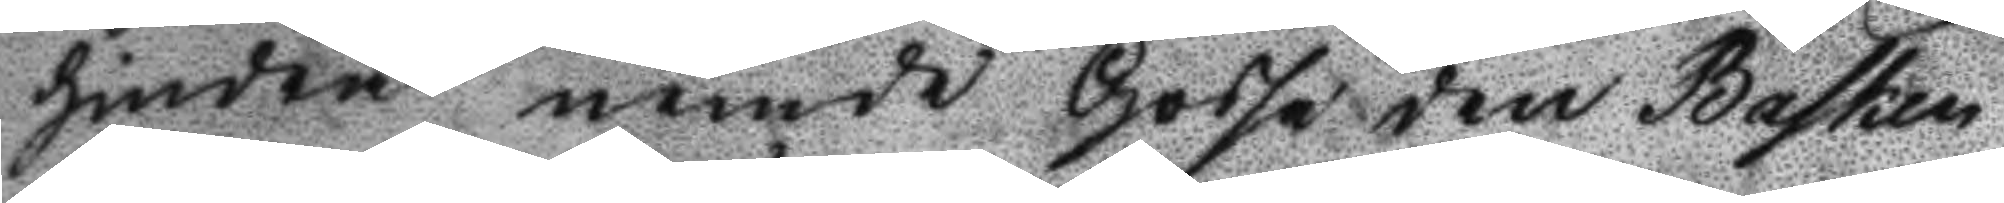hindrat nemde Gosse den Basken
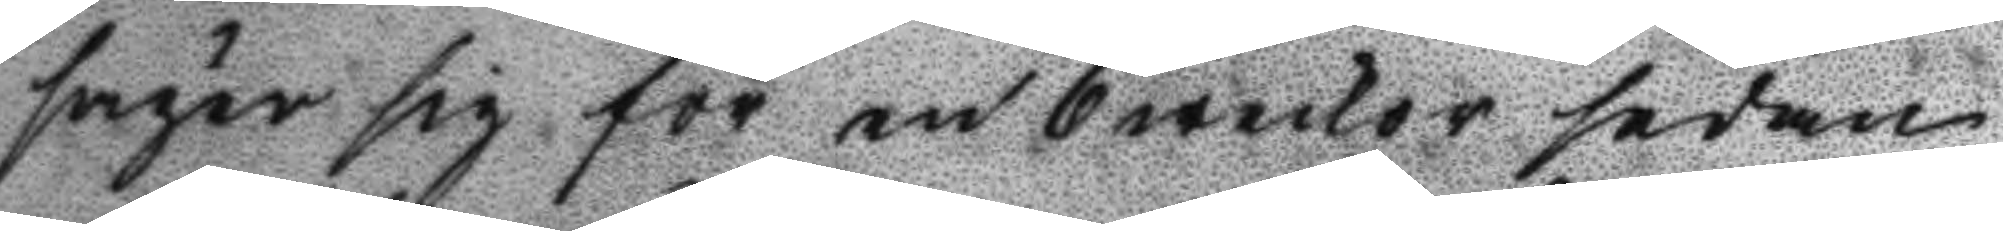säger sig för en 6 weckor sedan
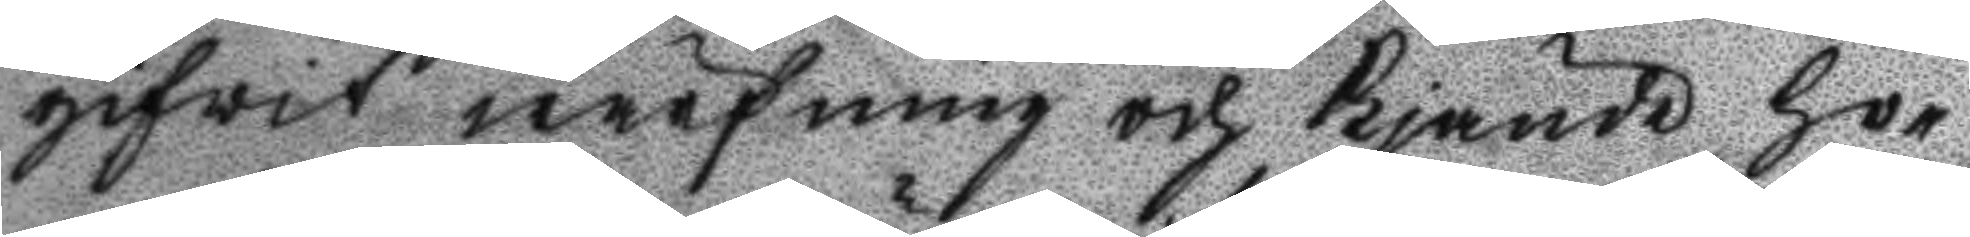gifvit wärfning och Kjände ho¬
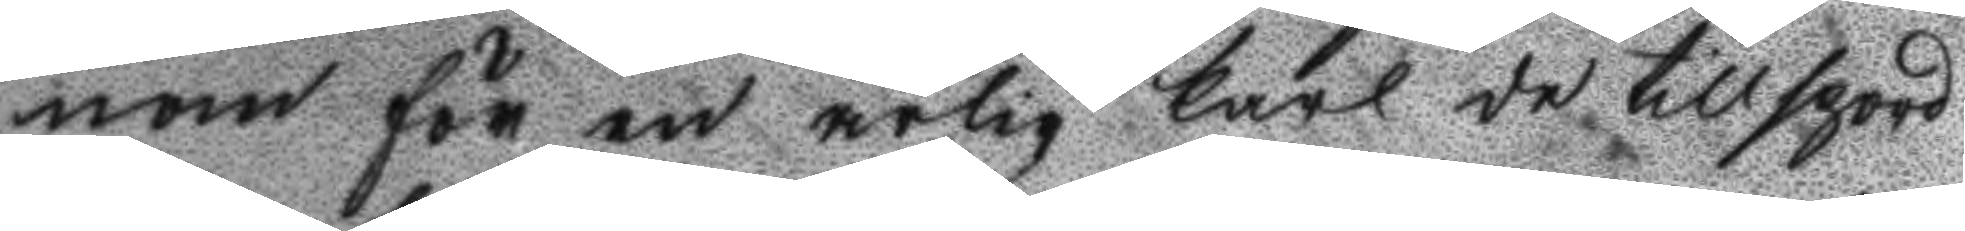nom för en ärlig Karl de tillspord
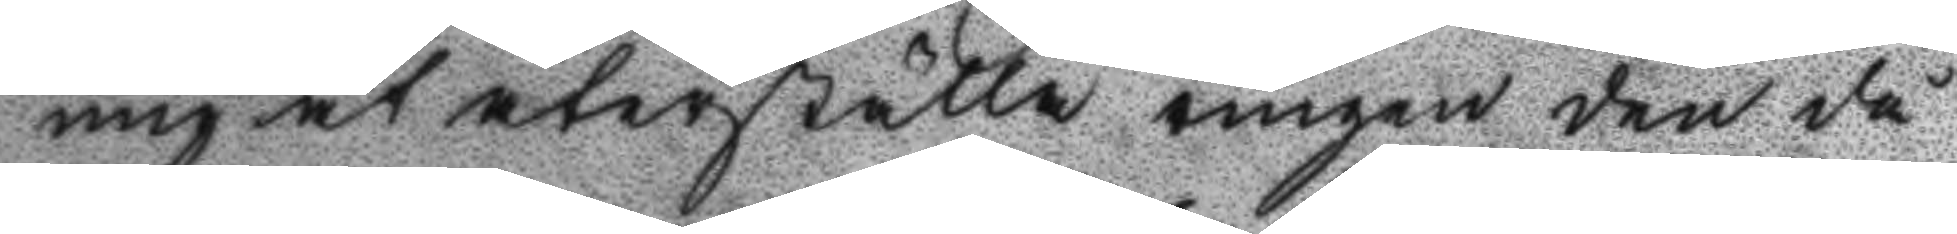mig at återställa ringen den då
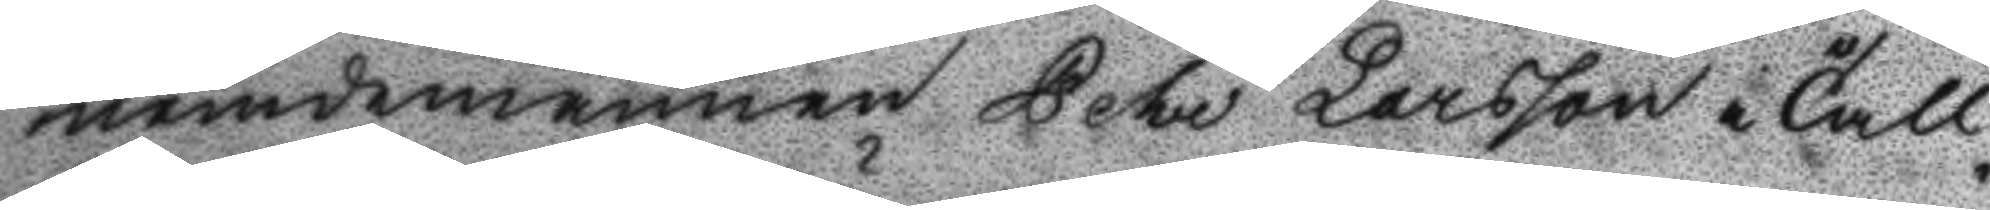nemdemannen Pehr Larsson i Åll¬ 
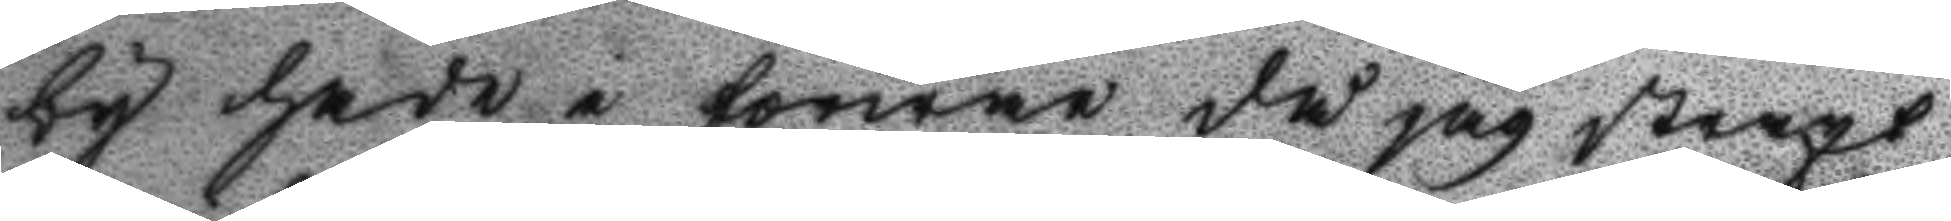by hade i förwar då jag straxt
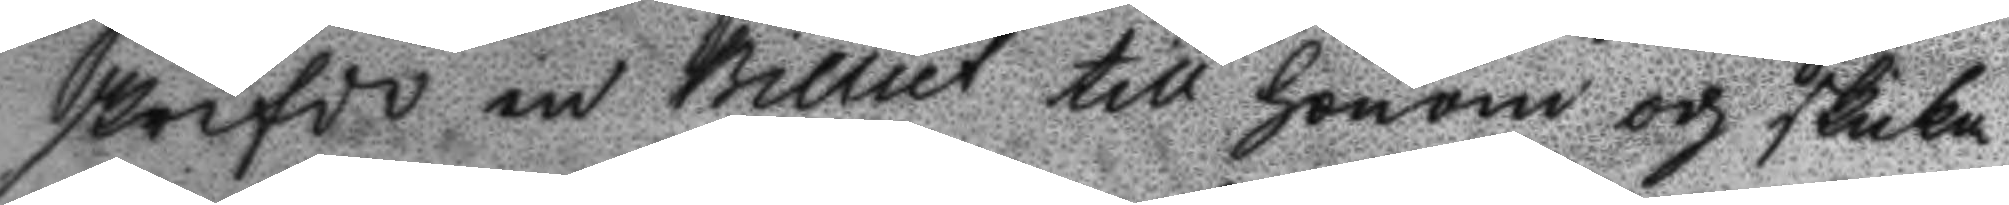skrifde en Billiet till honom och skicka
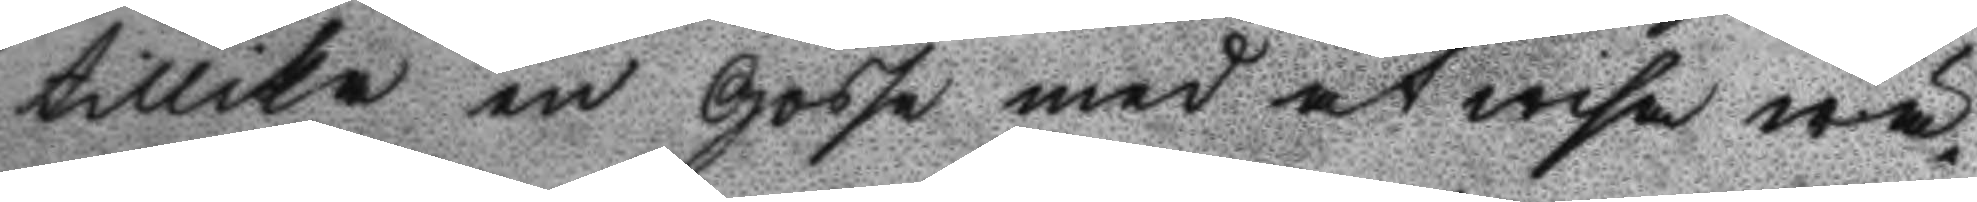tillika en Gosse med at wisa wä¬
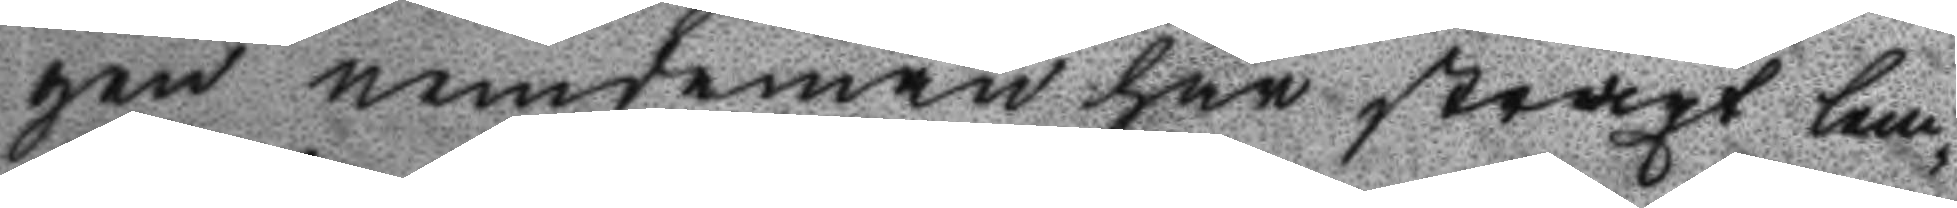gen nemdeman han straxt lem¬
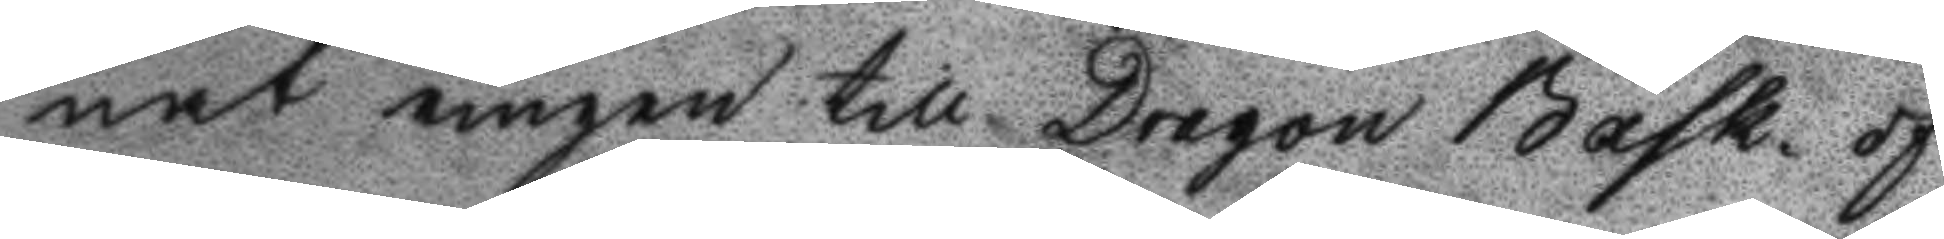nat ringen till Dragon Bask of
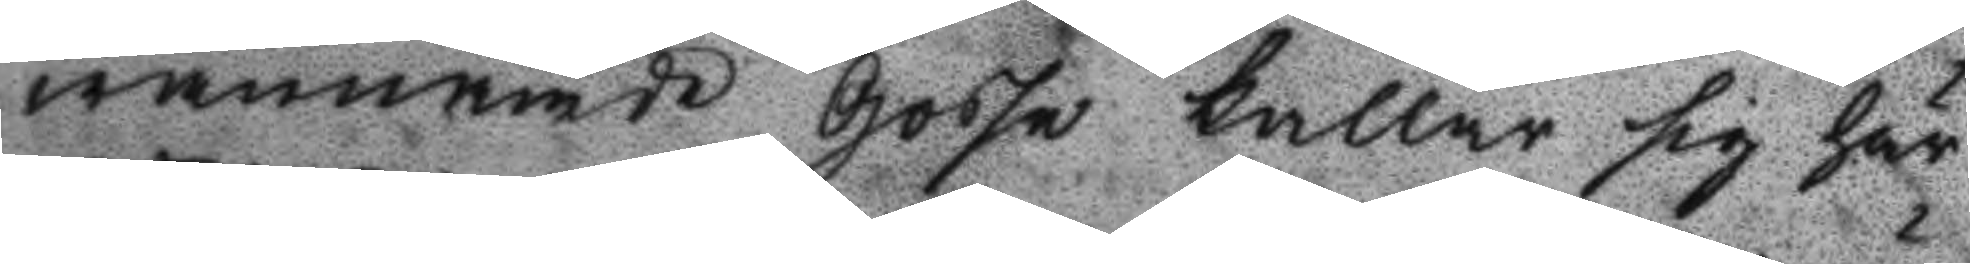wannämde Gosse kallar sig här
